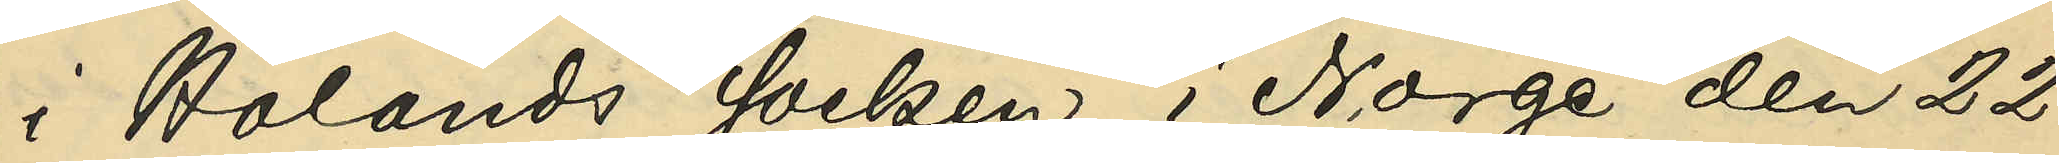i Hölands socken i Norge den 22
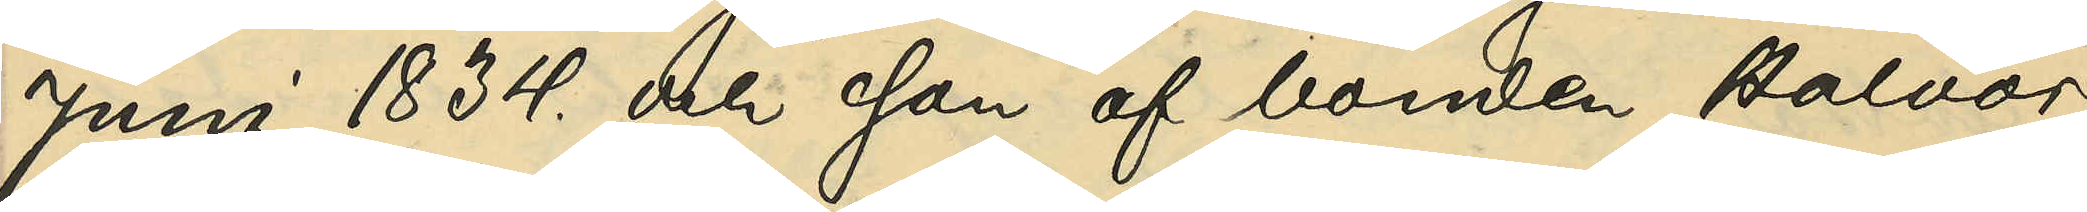Juni 1834 och son af bonden Halvor
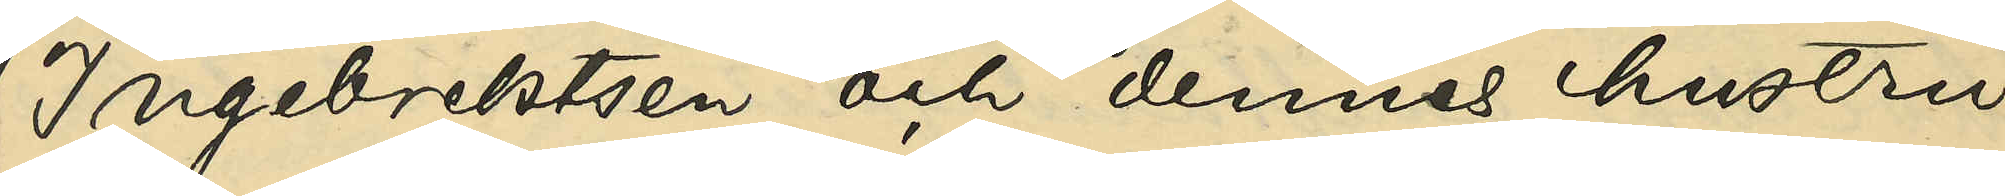Ingebrektsen och dennes hustru
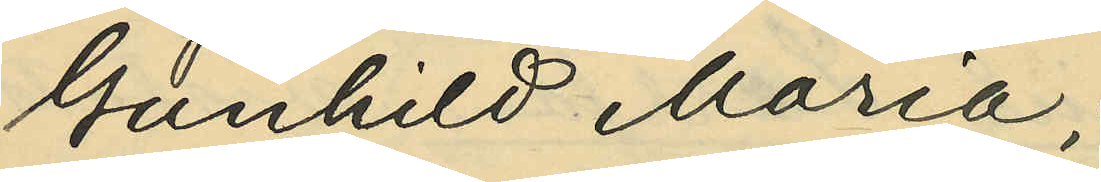Gunhild Maria;
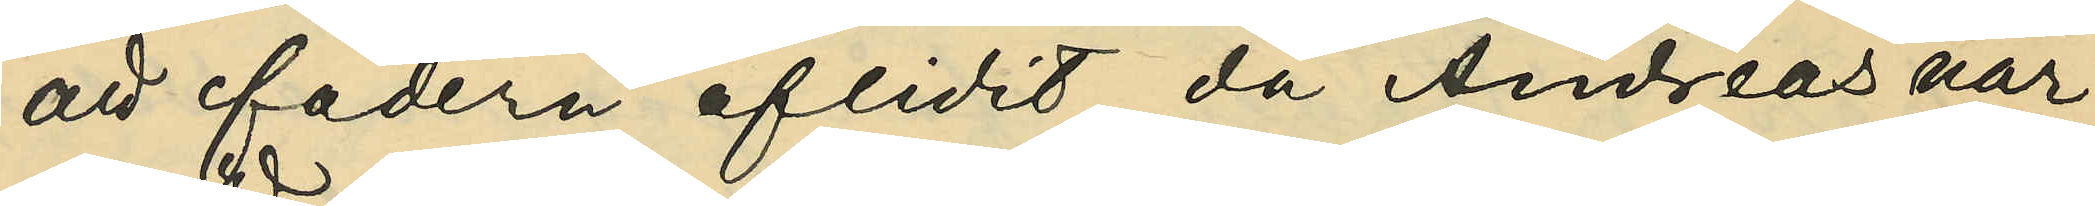att fadern aflidit, då Andreas var
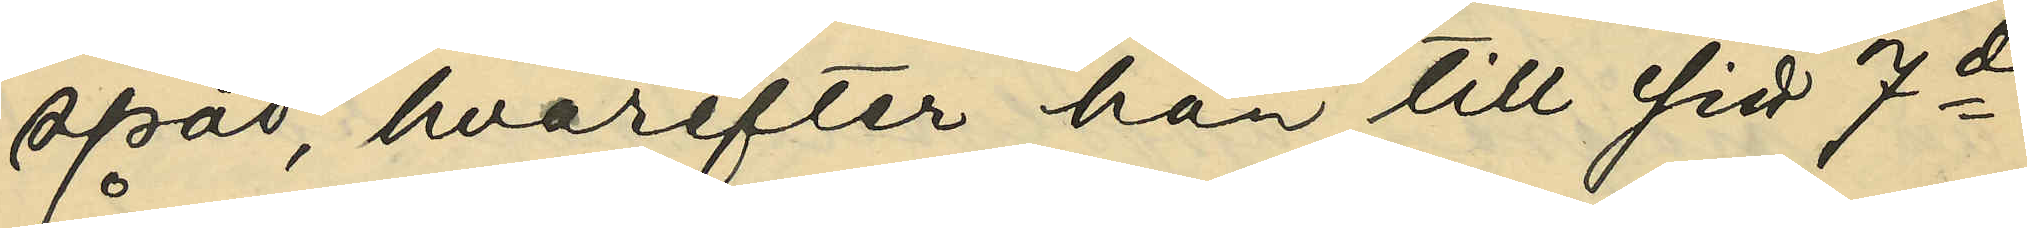späd, hvarefter han till sitt 7de
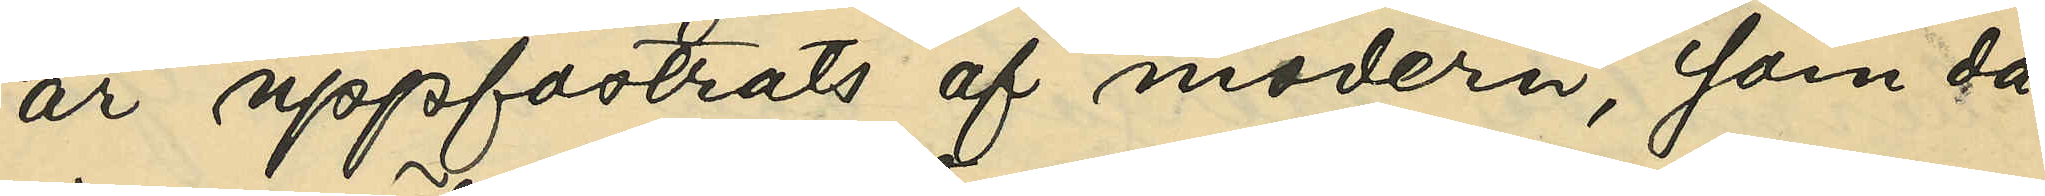år uppfostrats af modern, som då
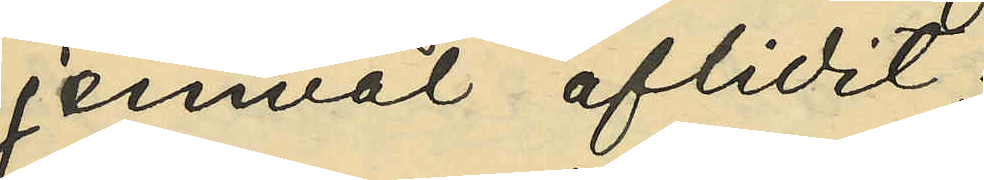jemväl aflidit;
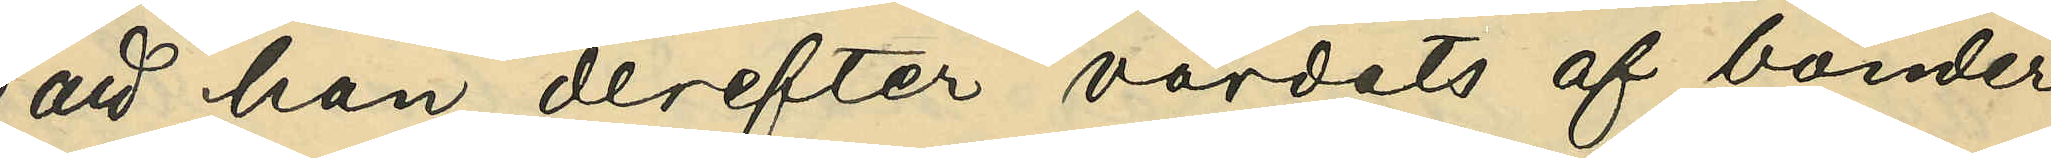att han derefter vårdats af bönder
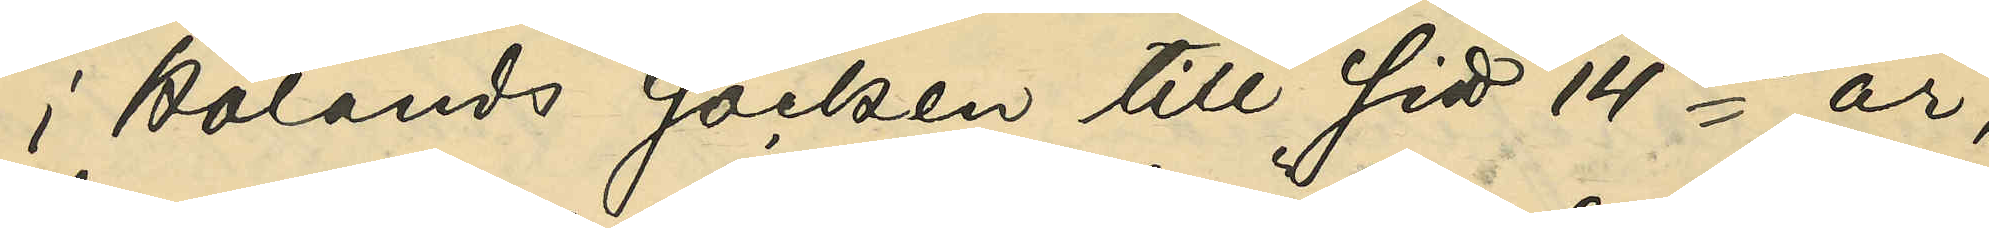i Hölands socken till sitt 14de år,
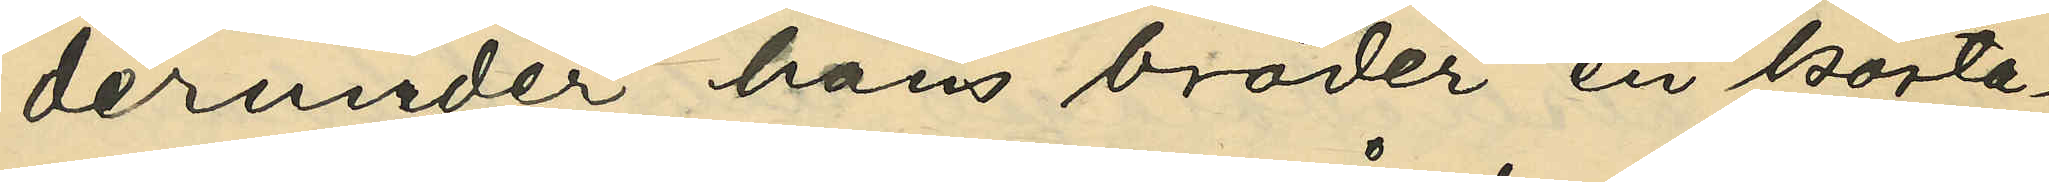derunder hans bröder en korta¬
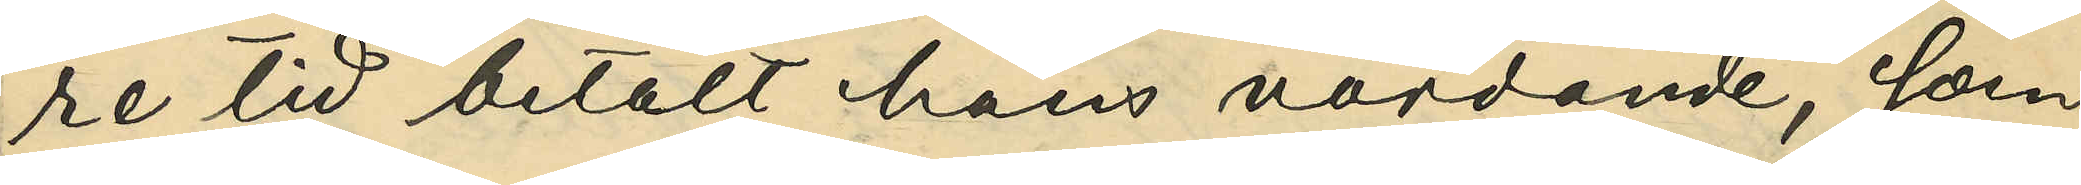re tid betalt hans vårdande, som
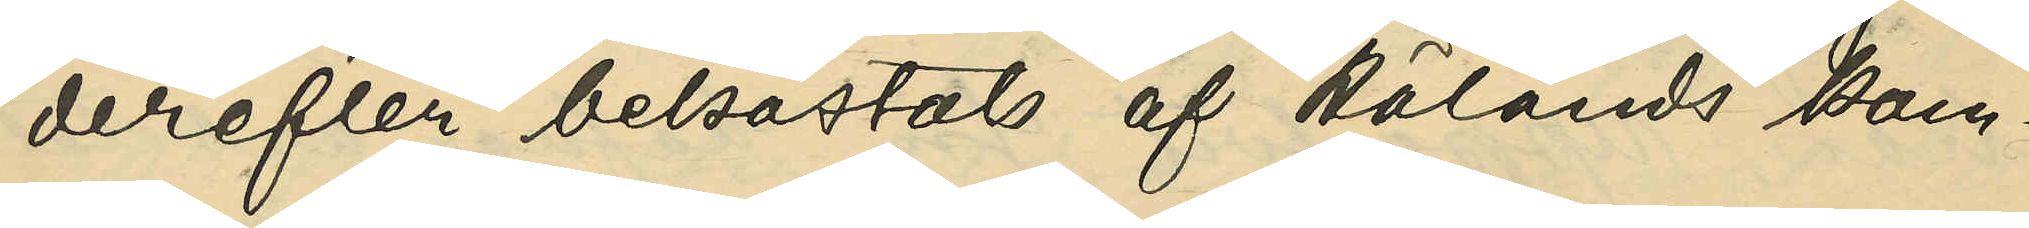derefter bekostats af Hölands kom¬
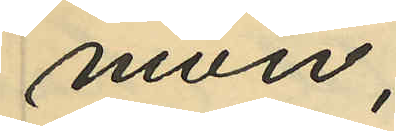mun;
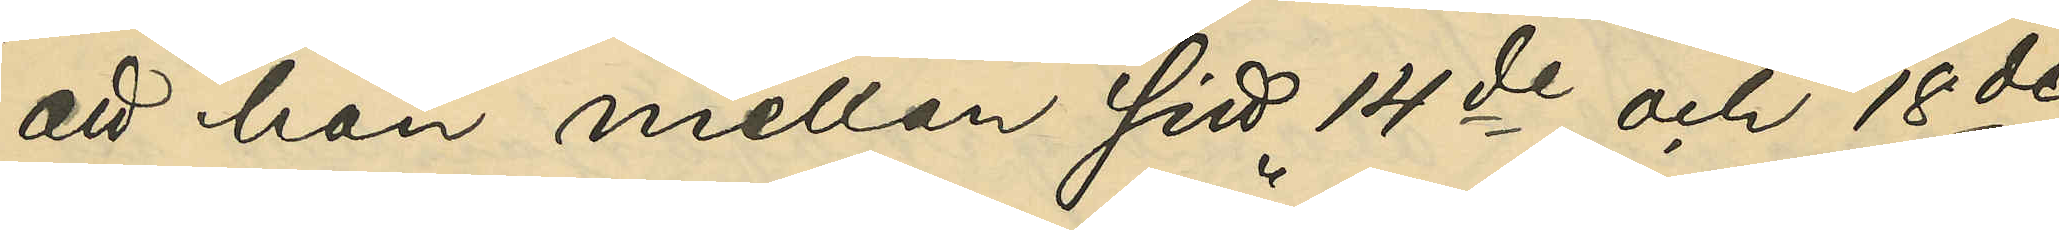att han mellan sitt 14de och 18de
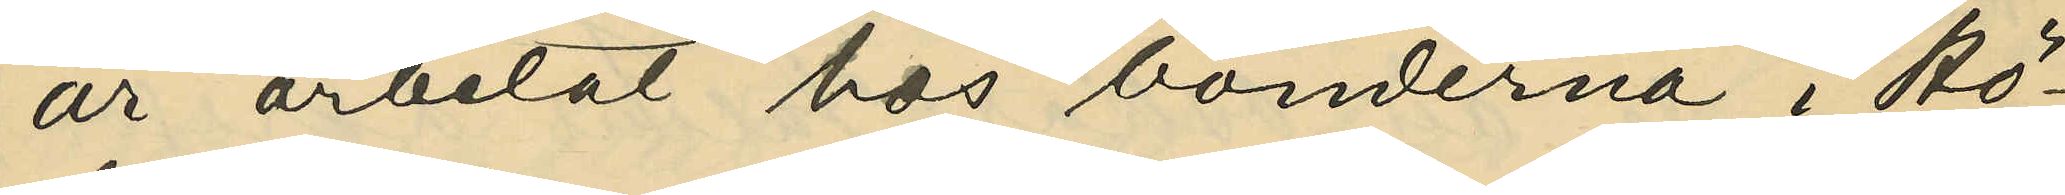år arbetat hos bönderna i Rö¬
